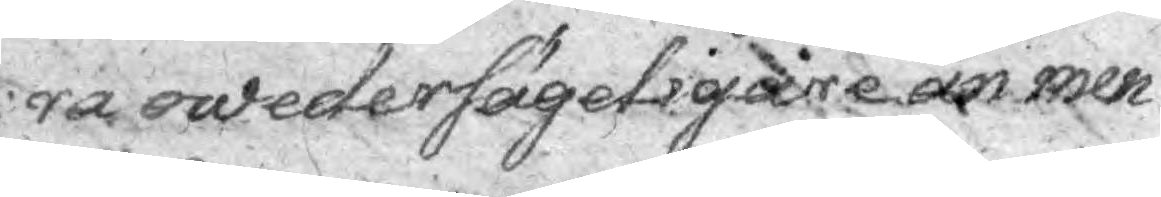ra owedersägeligare än men¬
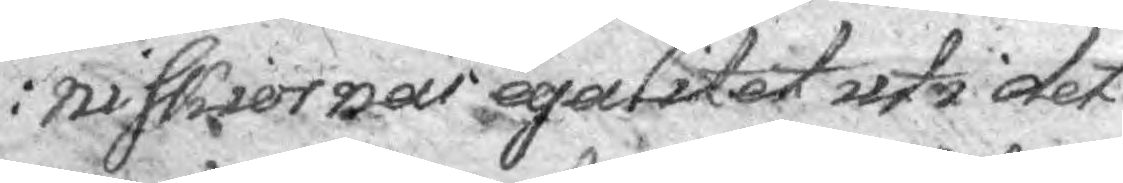niskiorners egalitet uti det
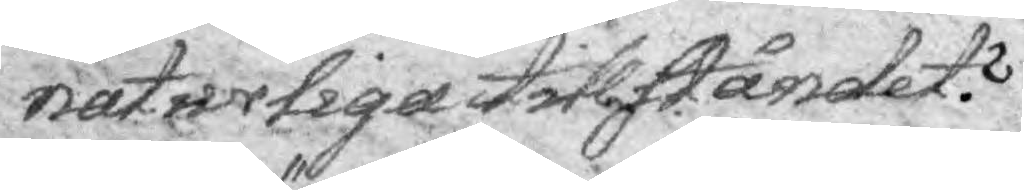naturliga tillståndet?
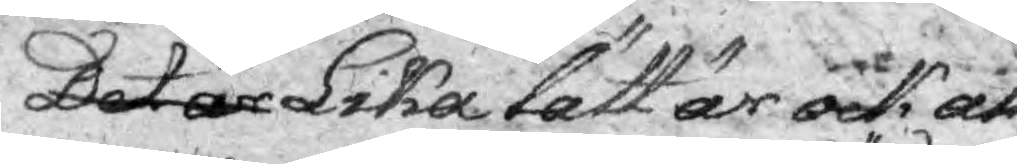Det är Lika lätt är ock att
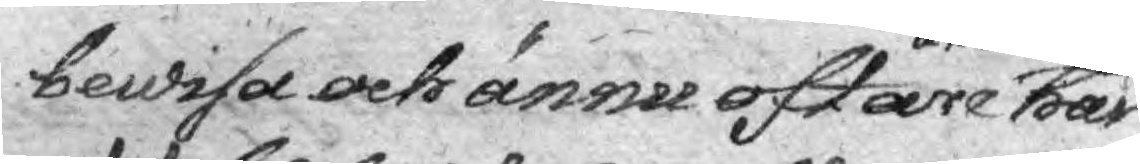bewisa och ännu oftare än den nysnämnde har 
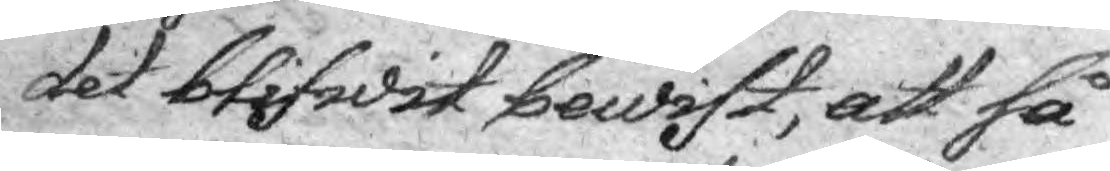det blifwit bewist, att så
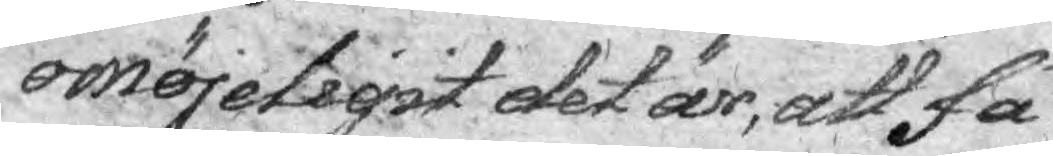omöjeligist det är, att få
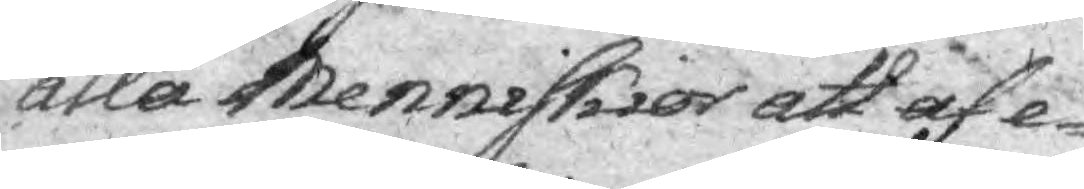alla Menniskior att af e¬
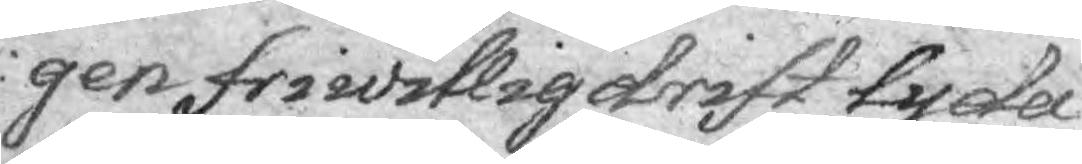gen friwillig drift tycka
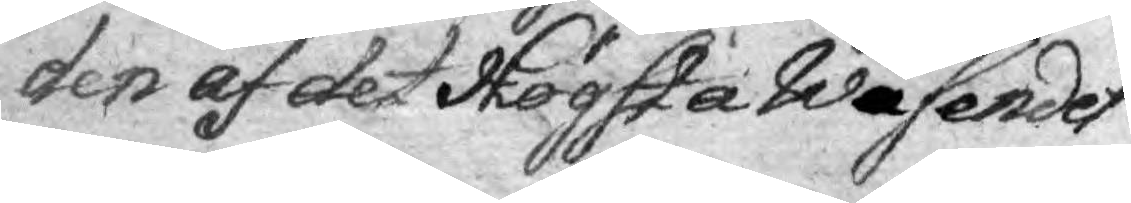den af det Högsta Wäsendet
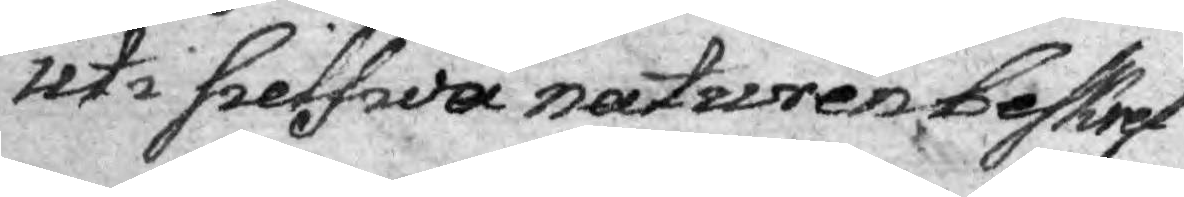uti sielfwa naturen beskref¬
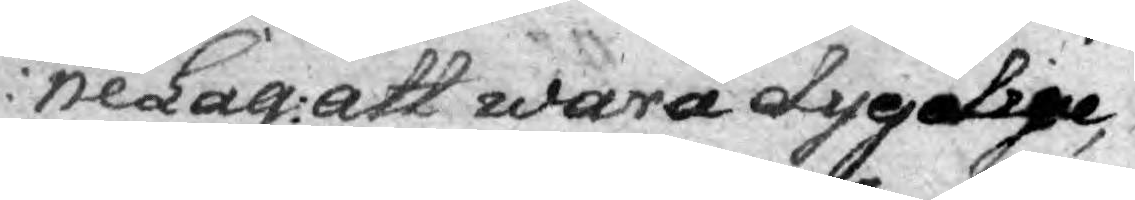nelag att wara dygdige,
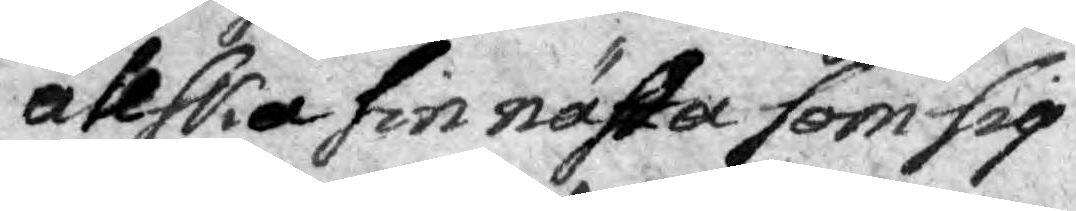älska sin nästa som sig
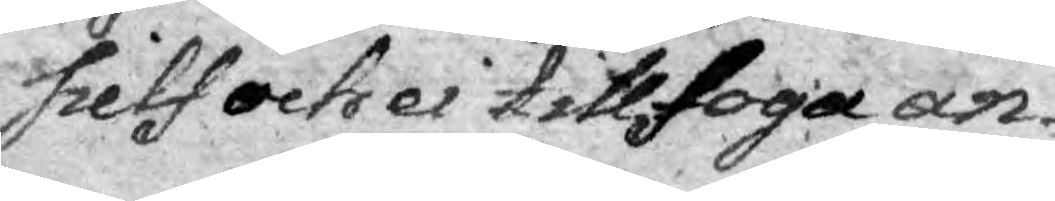sielf och ei tillfoga an¬
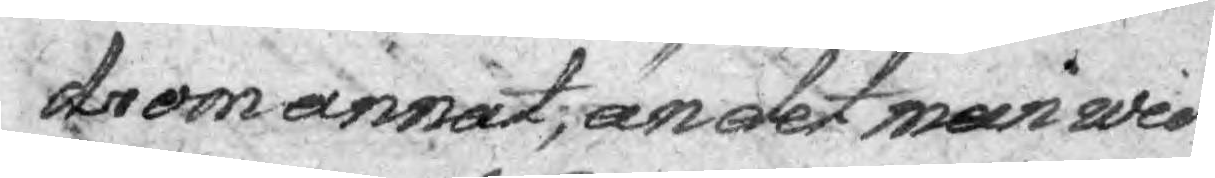drom annat, än det man wid
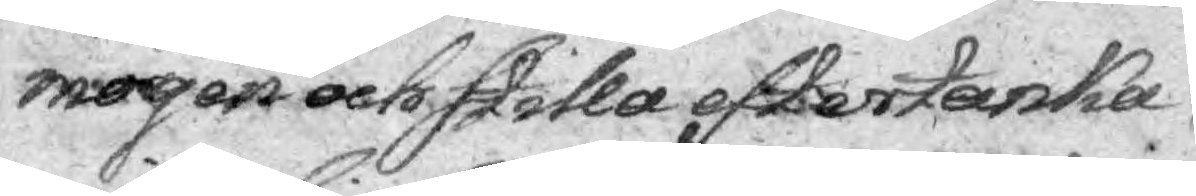mogen och stilla effertanka
